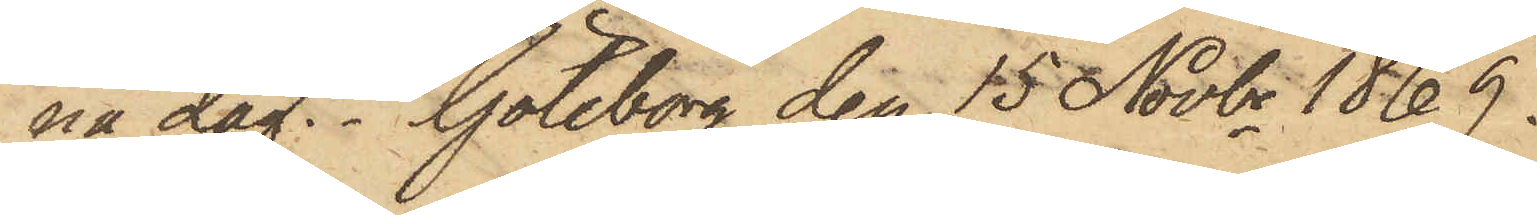na dag. Göteborg den 15 Novbr 1869.
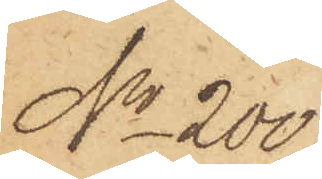No 200.
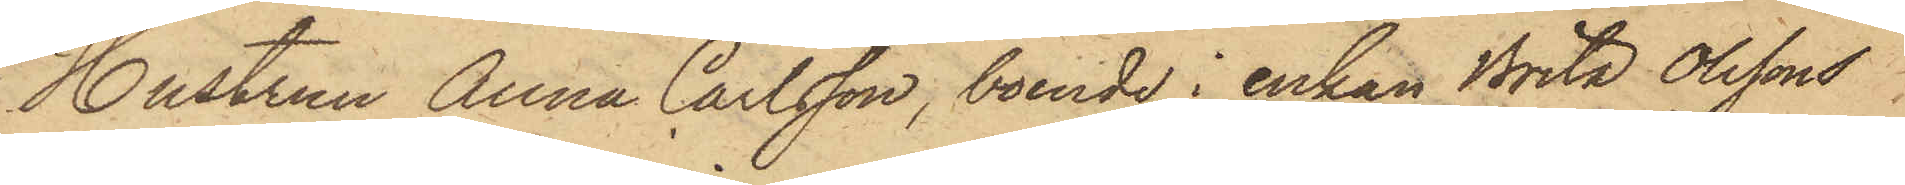Hustrun Anna Carlsson, boende i enkan Brita Olssons
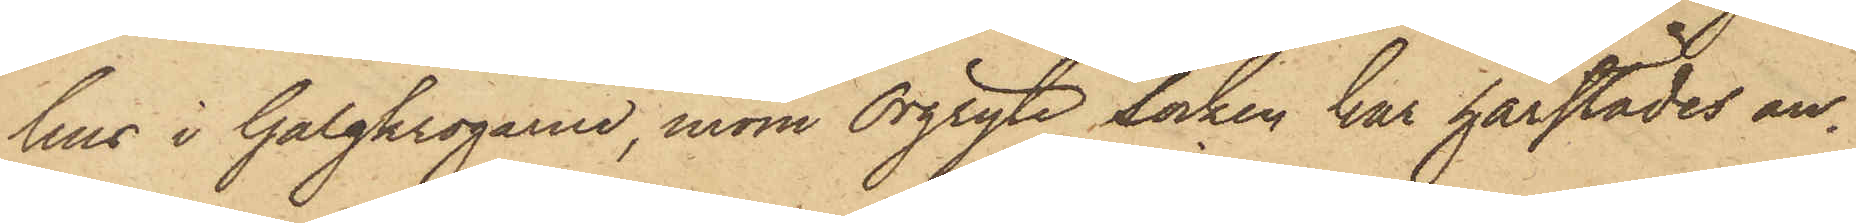hus i Galgkrogarne, inom Örgryte Socken har härstädes an¬
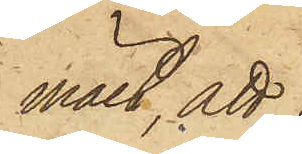mält att
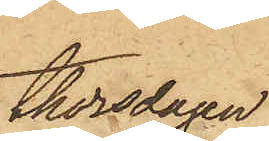thorsdagen
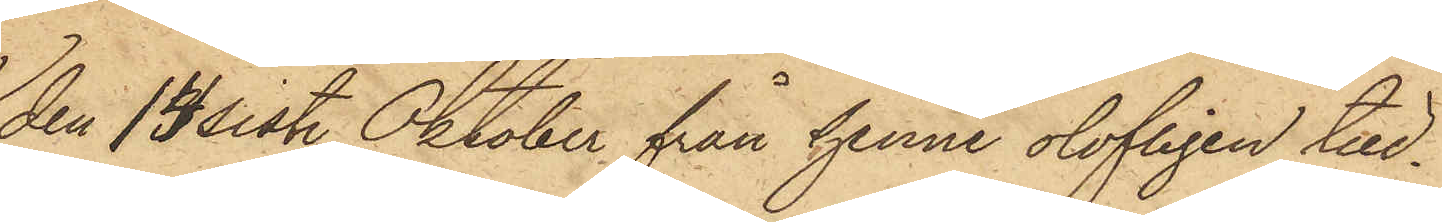den 14 sist. Oktober från henne olofligen till¬
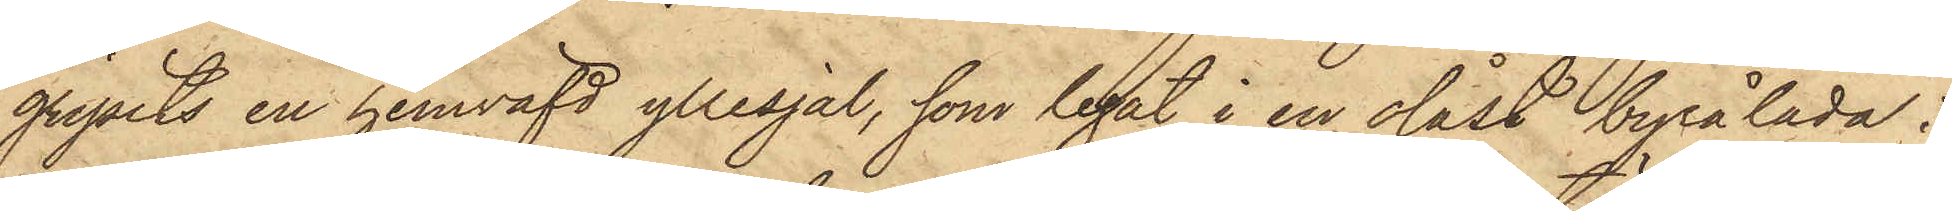gripits en hemväfd yllesjal, som legat i en olåst byrålåda i
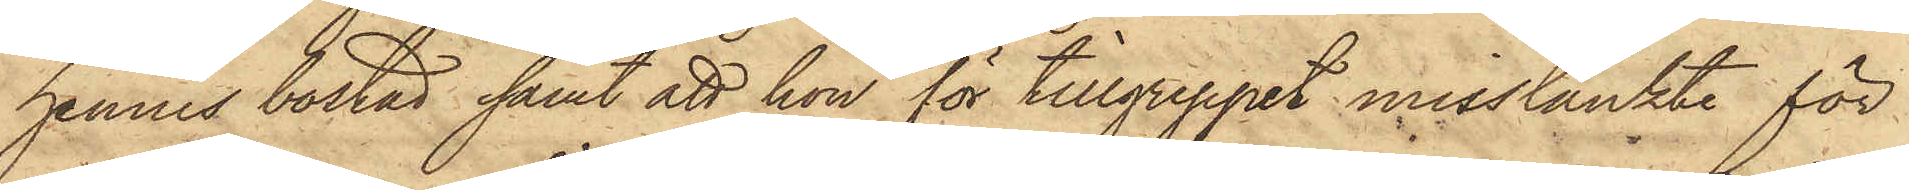hennes bostad samt att hon för tillgreppet misstänkte för
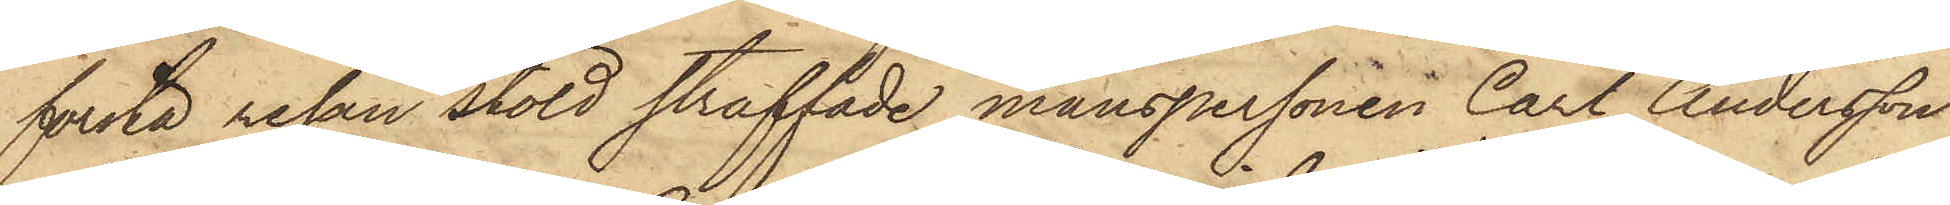första resan stöld straffade manspersonen Carl Andersson
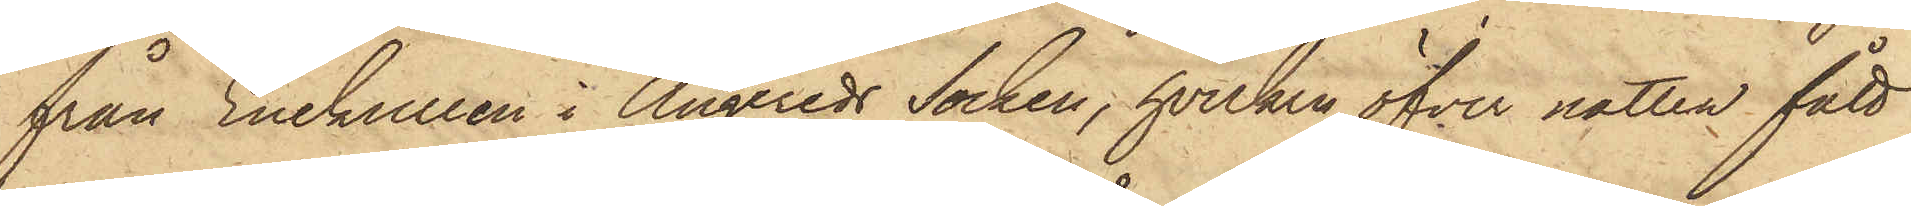från Enekullen i Angereds Socken, hvilken öfver natten fått
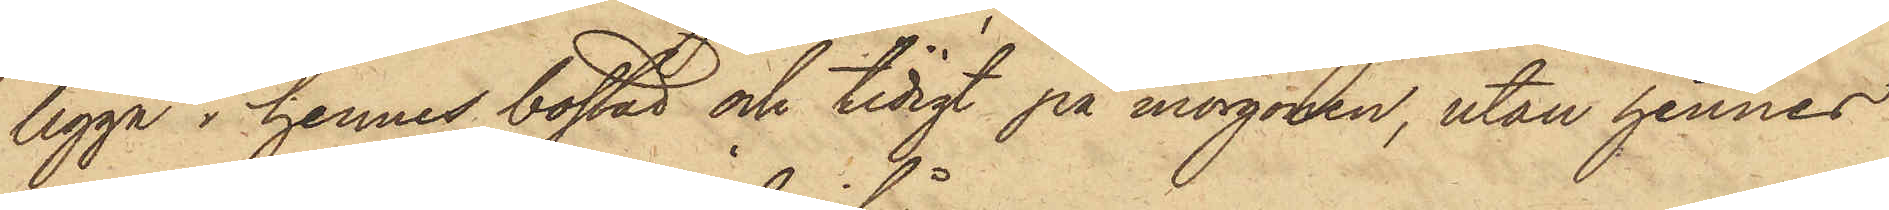ligga i hennes bostad och tidigt på morgonen, utan hennes
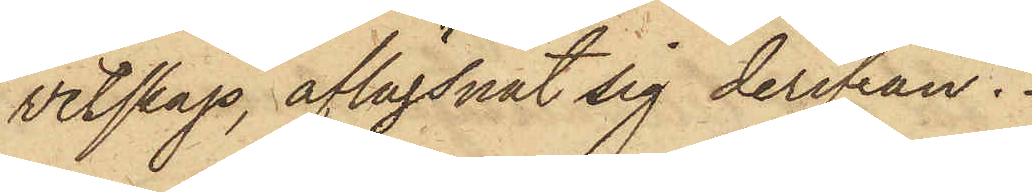vetskap, aflägsnat sig derifrån.
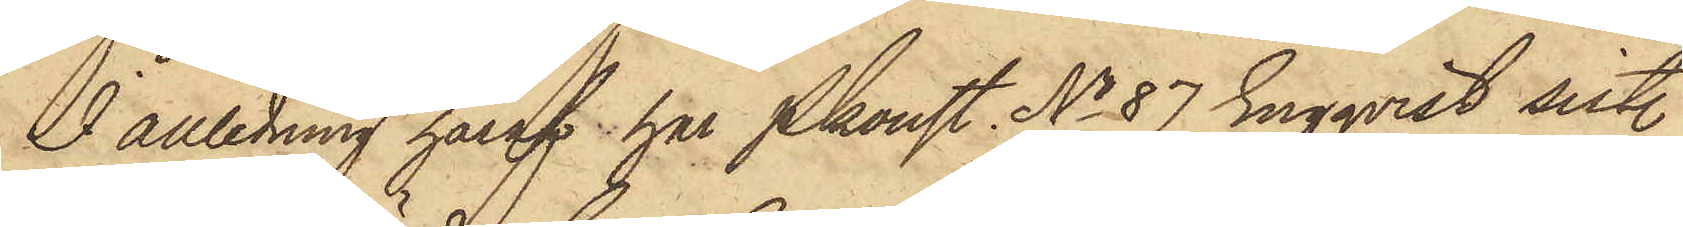I anledning häraf har Pkonst No 87 Engqvist sist.
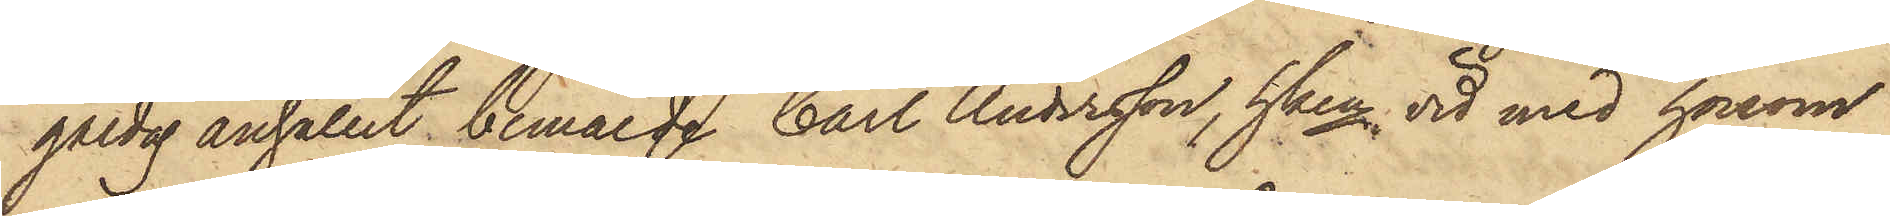gårdag anhållit bemälde Carl Andersson, hken vid med honom
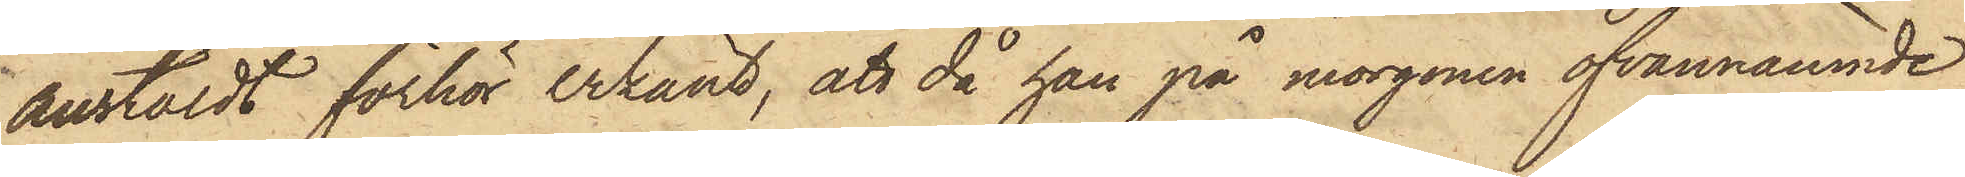anstäldt förhör erkänt, att då han på morgonen ofvannämnde
